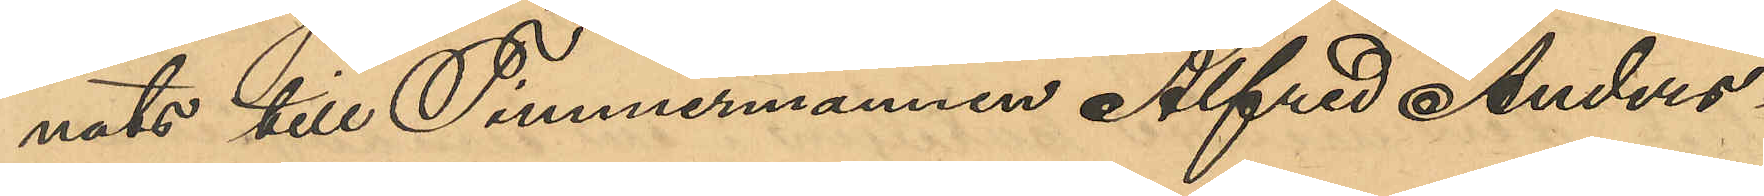nats till Timmermannen Alfred Anders¬
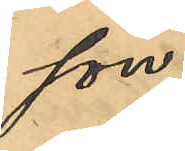son.
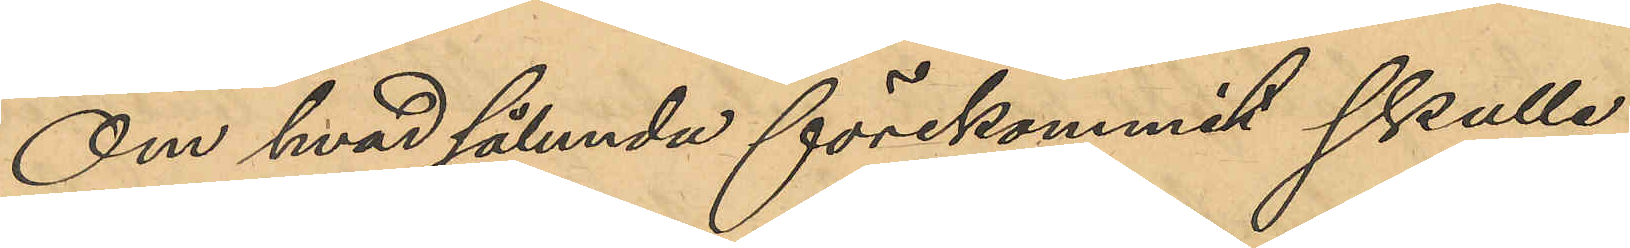Om hvad sålunda förekommit skulle
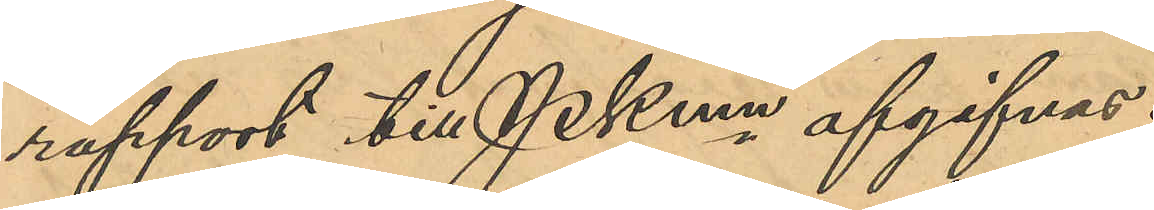rapport till Pkmn afgifvas.
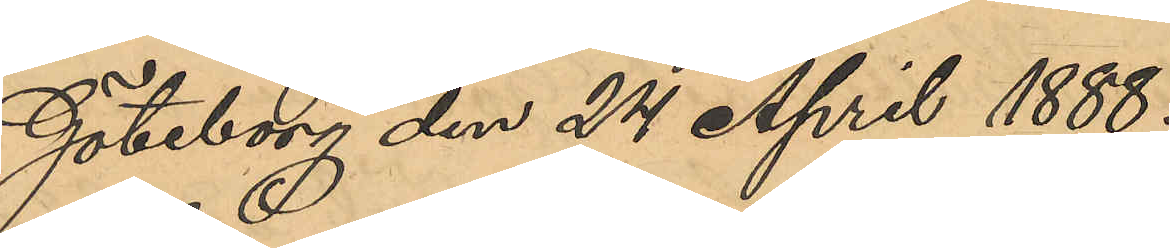Göteborg den 25 April 1888.
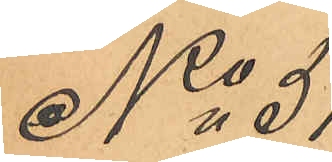No 51
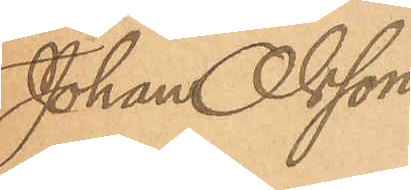Johan Olsson
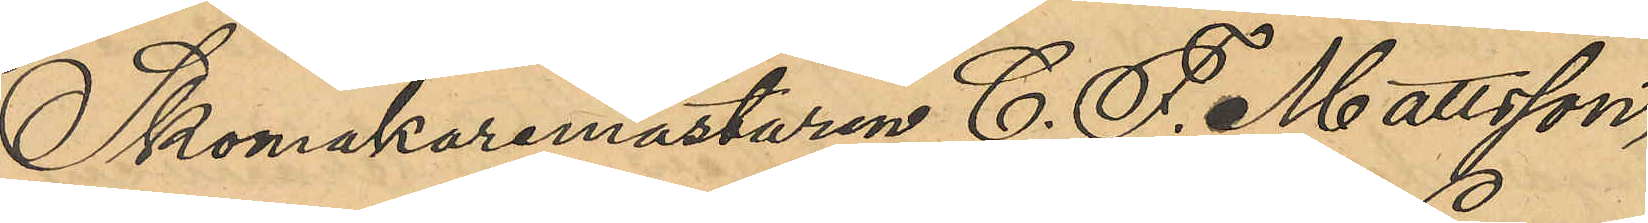Skomakaremästaren C. F. Mattson,
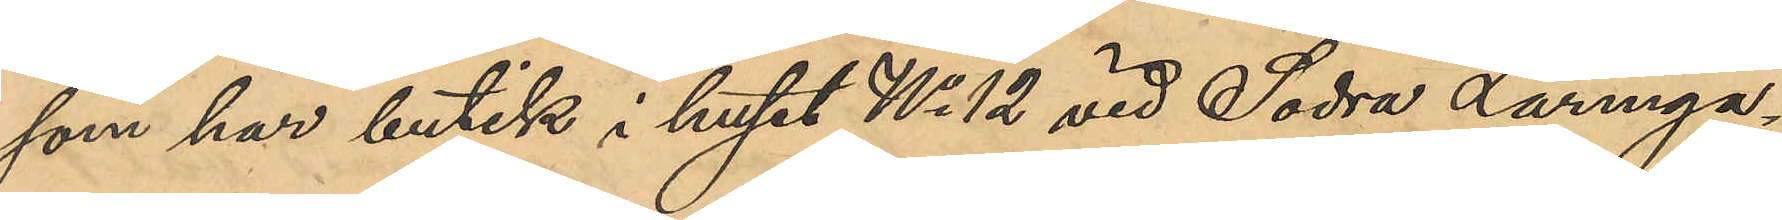som har butik i huset No 12 vid Södra Larmga¬
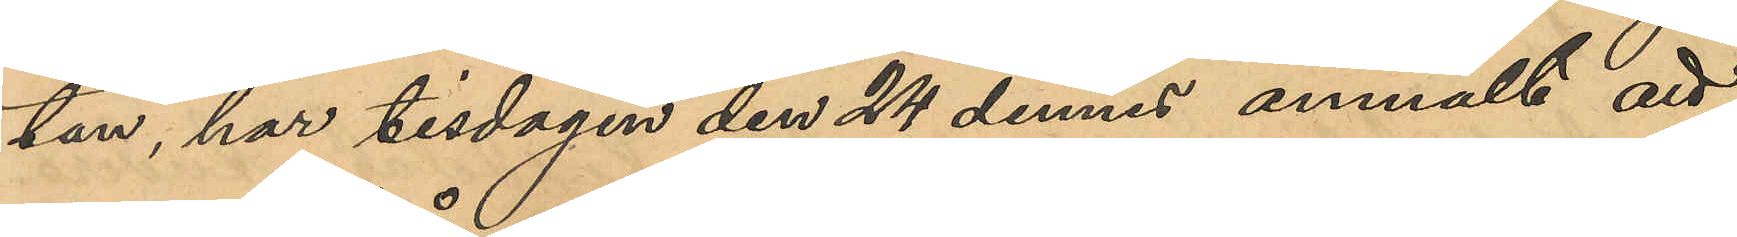tan, har tisdagen den 24 dennes anmält att
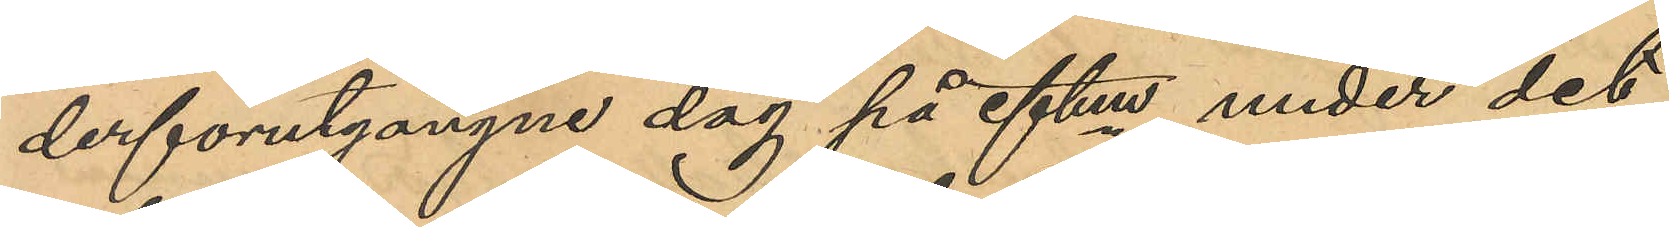derförutgångne dag på eftm under det
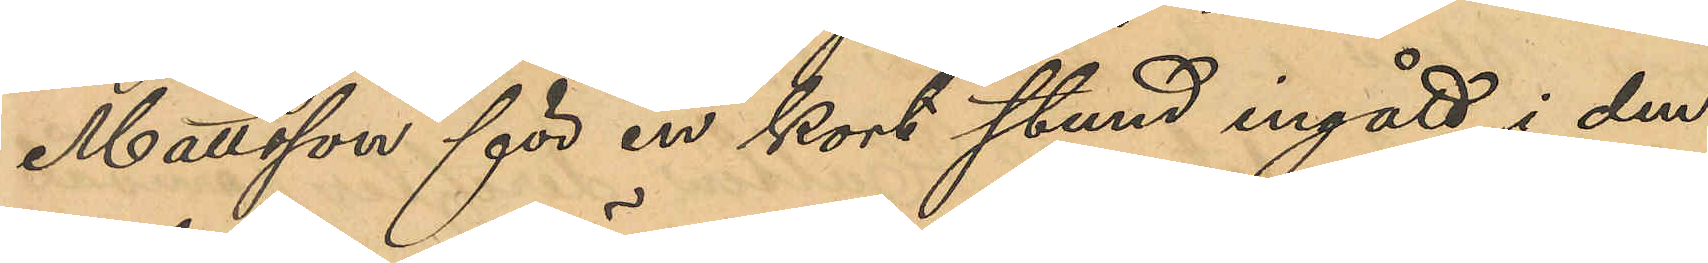Mattsson för en kort stund ingått i den
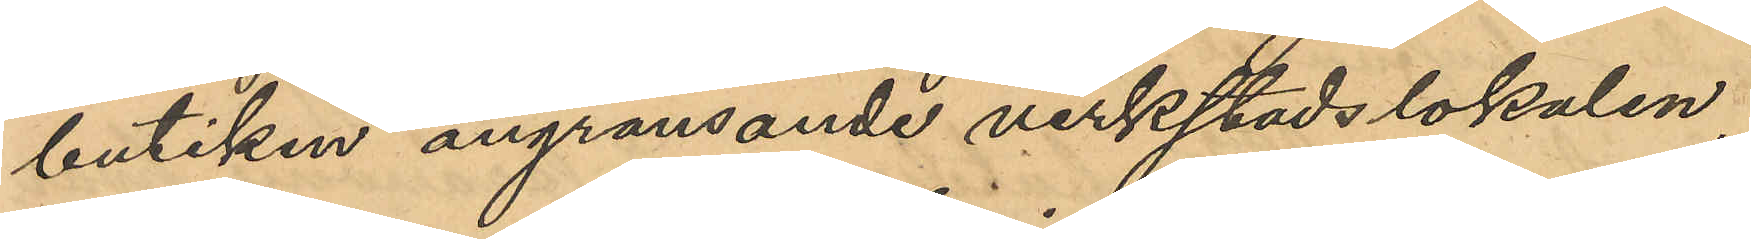butiken angränsande verkstadslokalen,
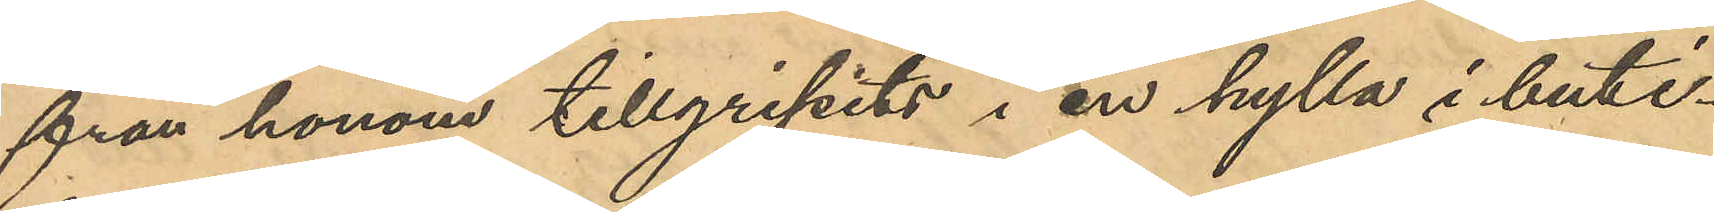från honom tillgripits i en hylla i buti¬
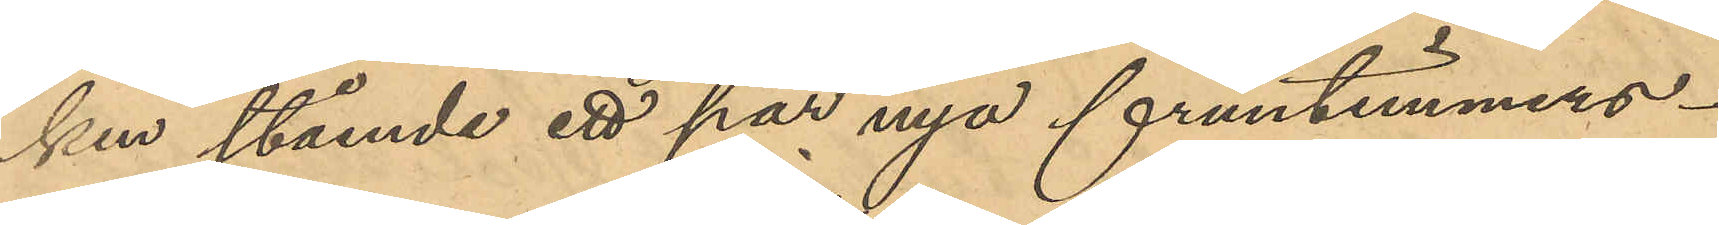ken stående ett par nya fruntimmers¬
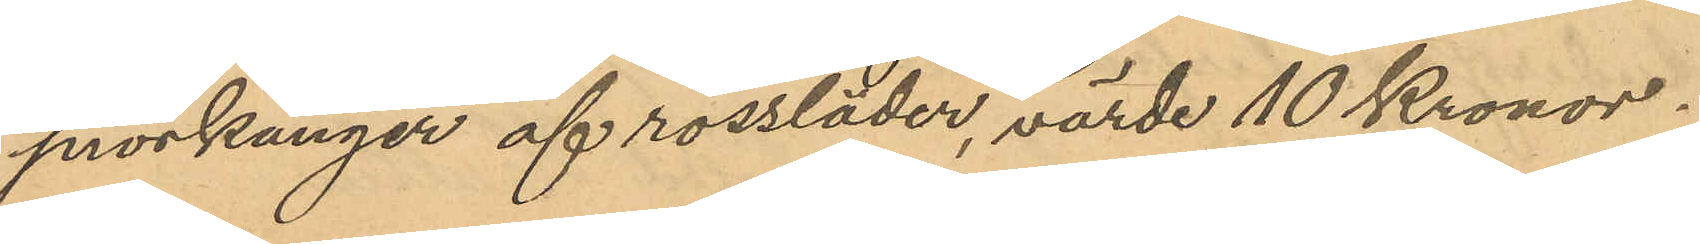snörkänger af rossläder, värde 10 Kronor.
